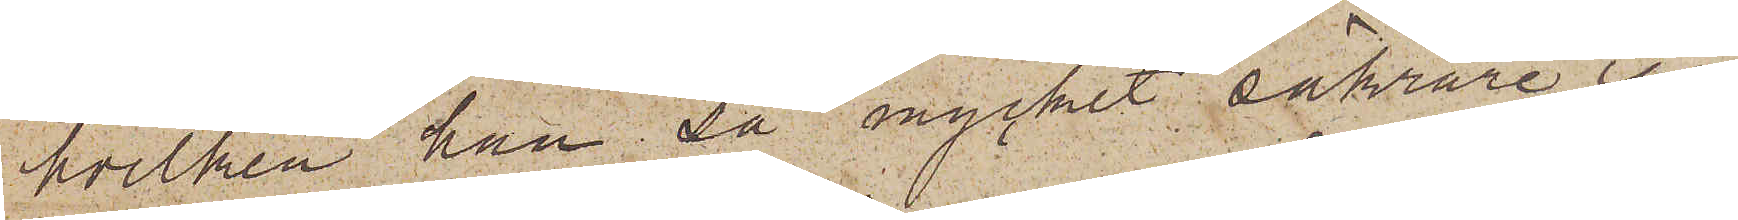hvilken han då mycket säkrare igen¬
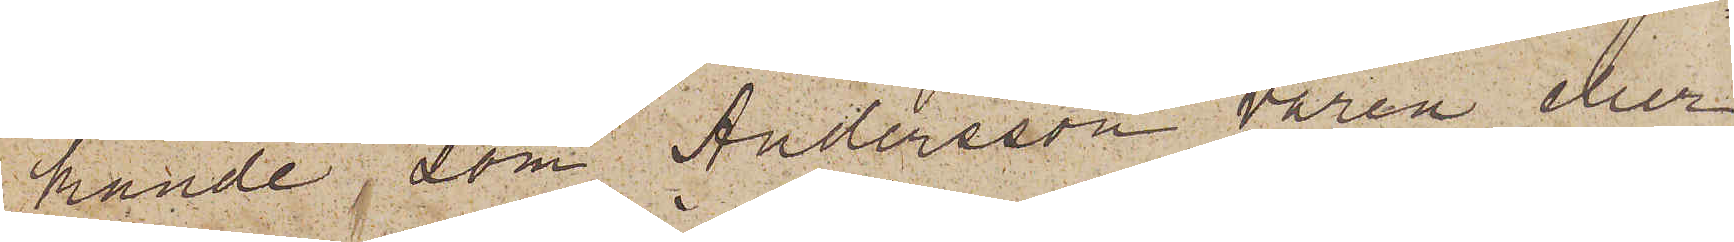kände, som Andersson våren eller
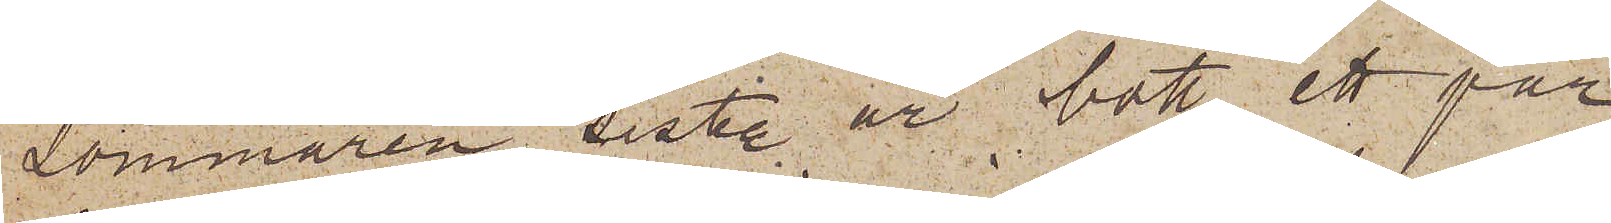sommaren sist. år bott ett par
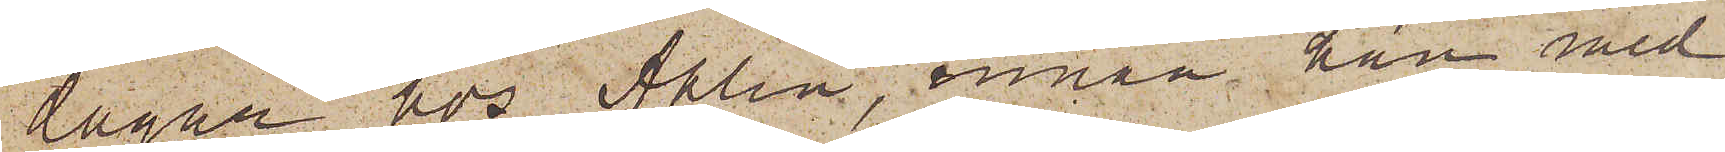dagar hos Ahlin, innan han med
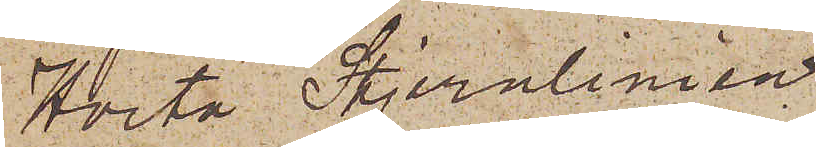Hvita Stjernlinien
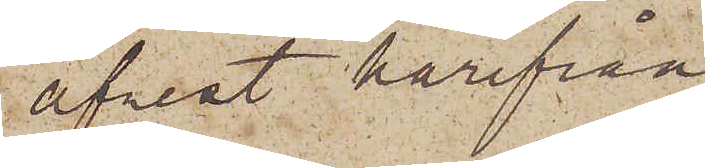afrest härifrån
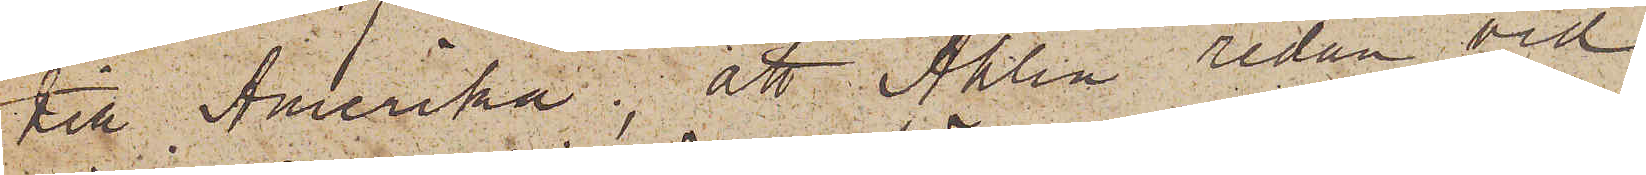till Amerika; att Ahlin redan vid
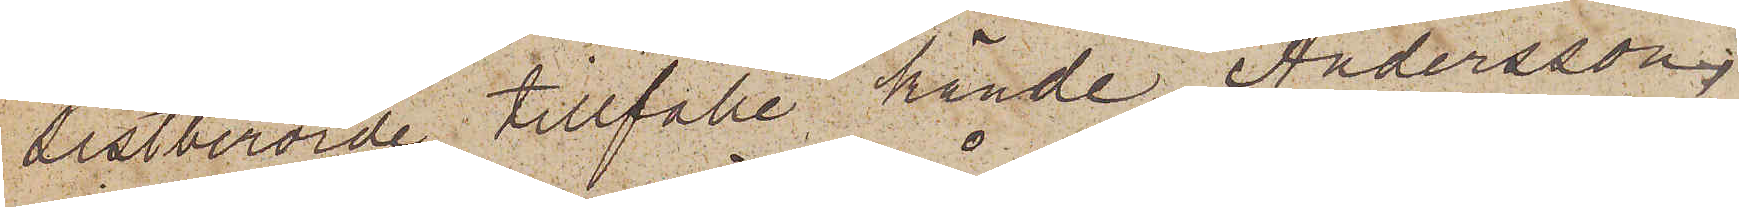sistberörde tillfälle kände Andersson;
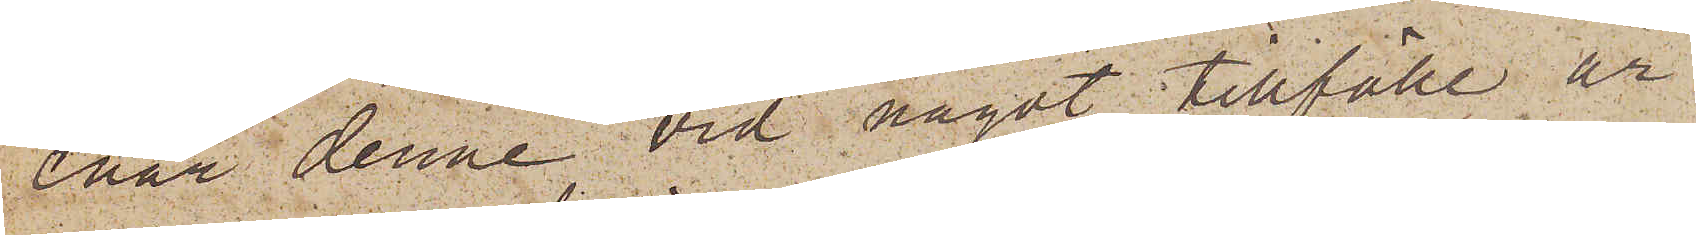enär denne vid något tillfälle år
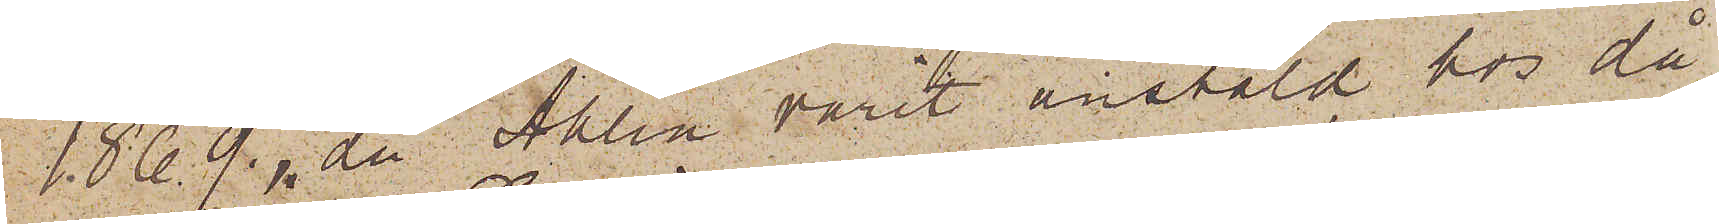1869, då Ahlin varit anstäld hos då¬
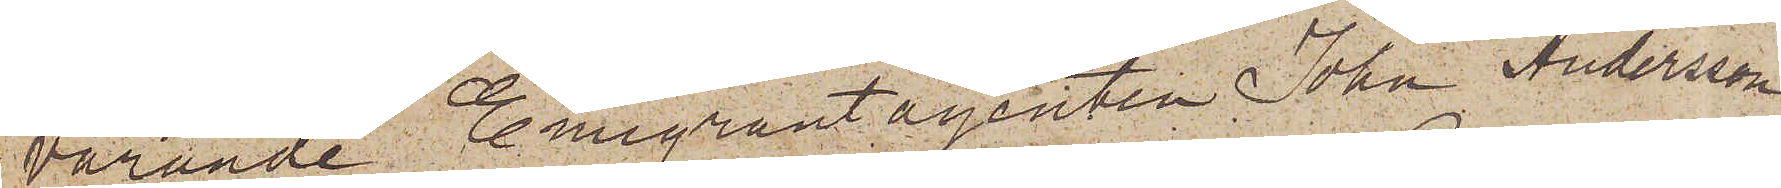varande Emigrantagenten John Andersson,
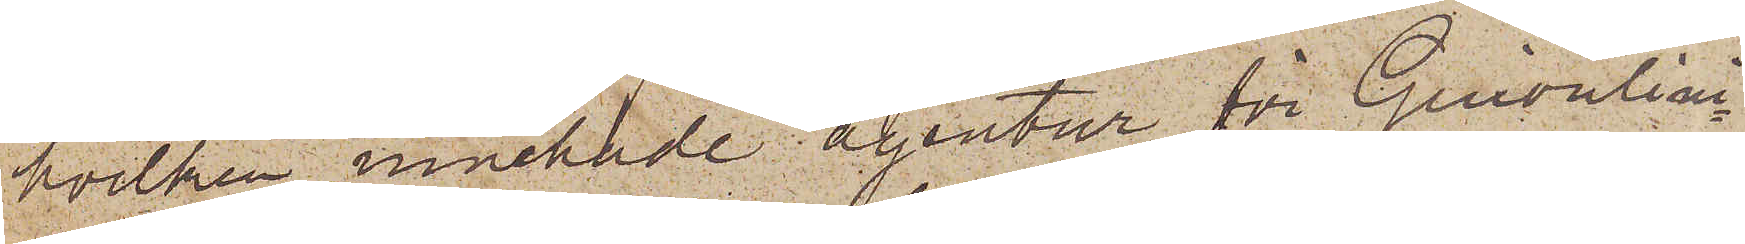hvilken innehade agentur för Guionlini¬
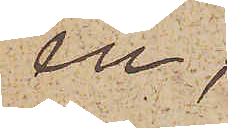en,
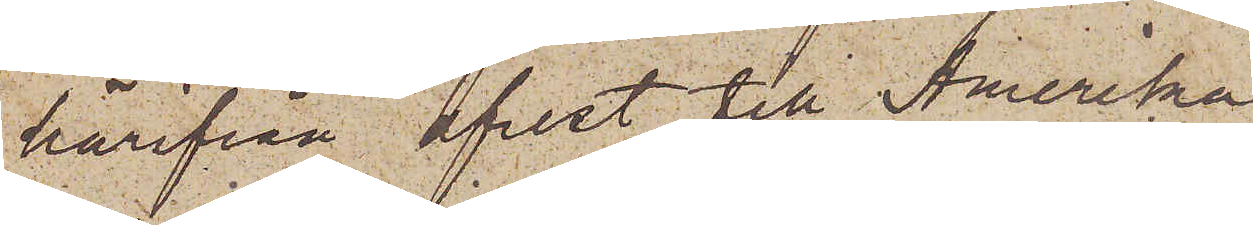härifrån afrest till Amerika
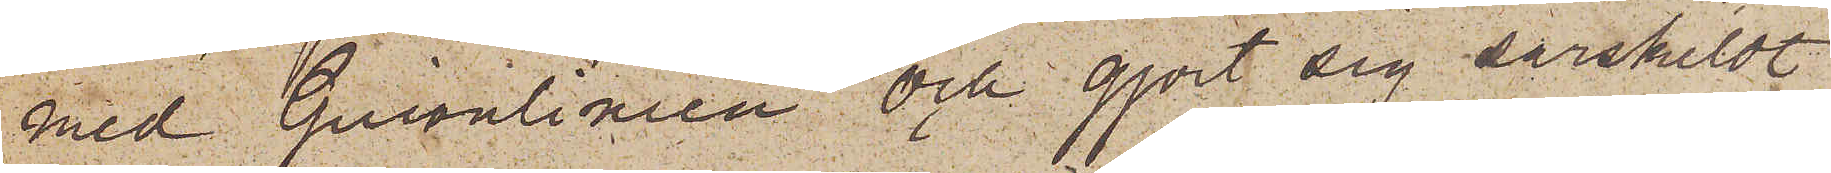med Guionlinien och gjort sig särskildt
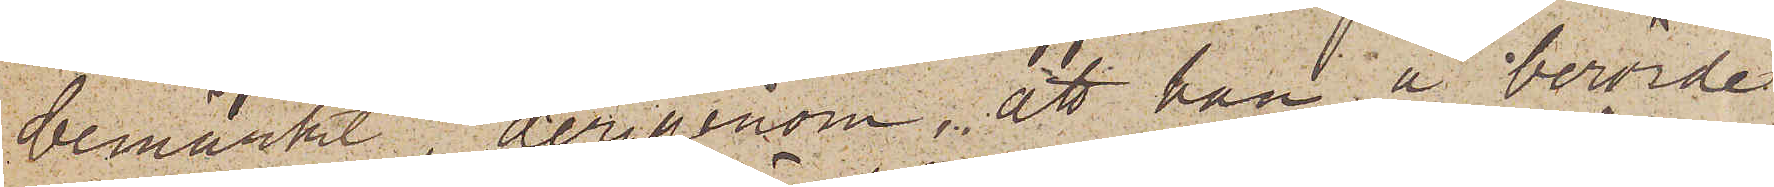bemärkt, derigenom, att han å berörde
